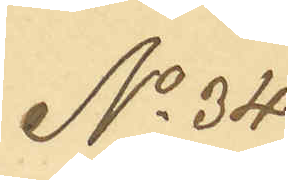No 34
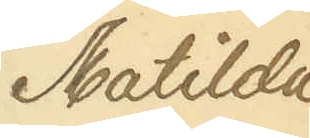Mathilda
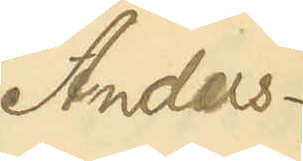Anders¬
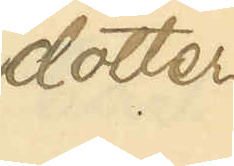dotter
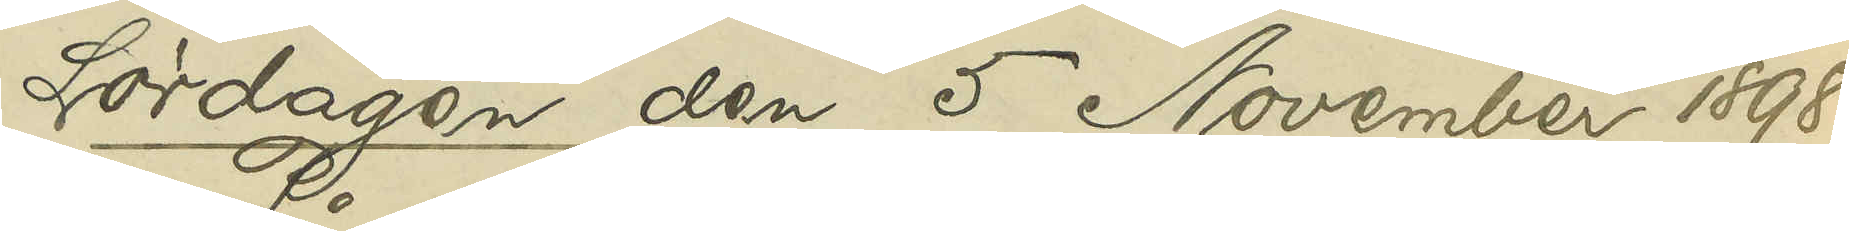Lördagen den 5 November 1898.
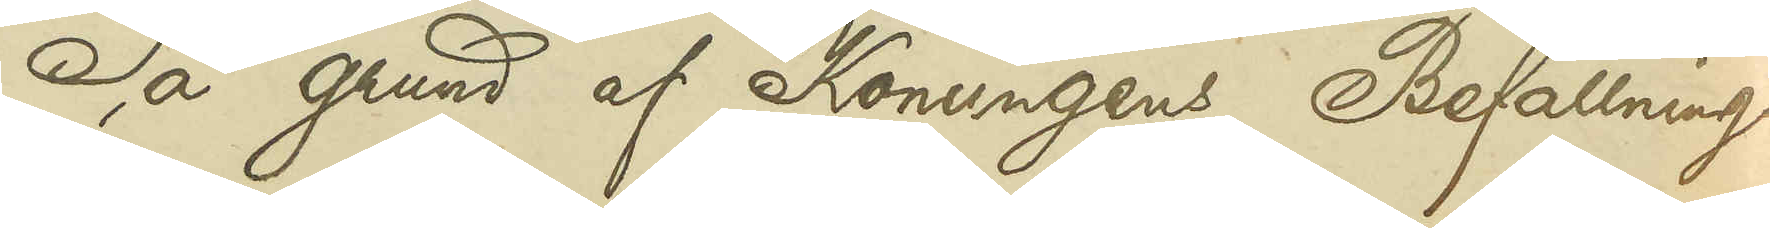På grund af Konungens Befallnings¬
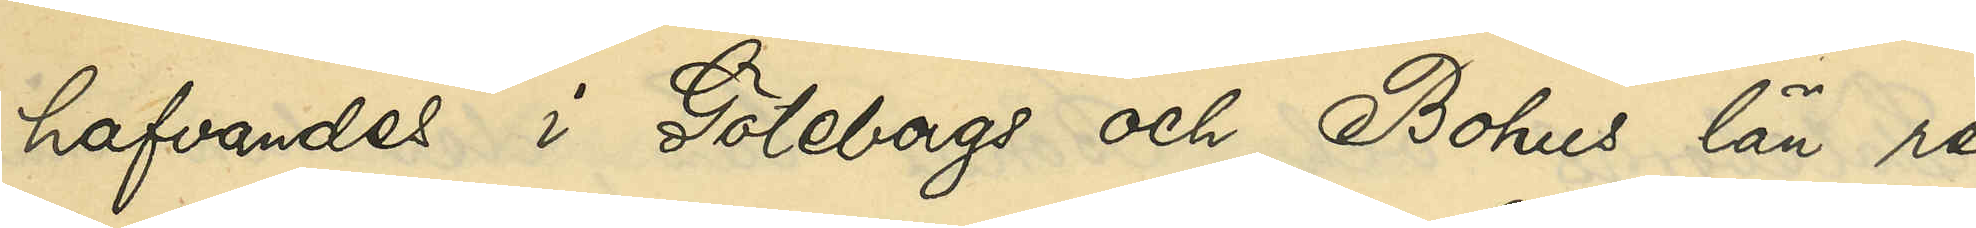hafvandes i Göteborgs och Bohus län re¬
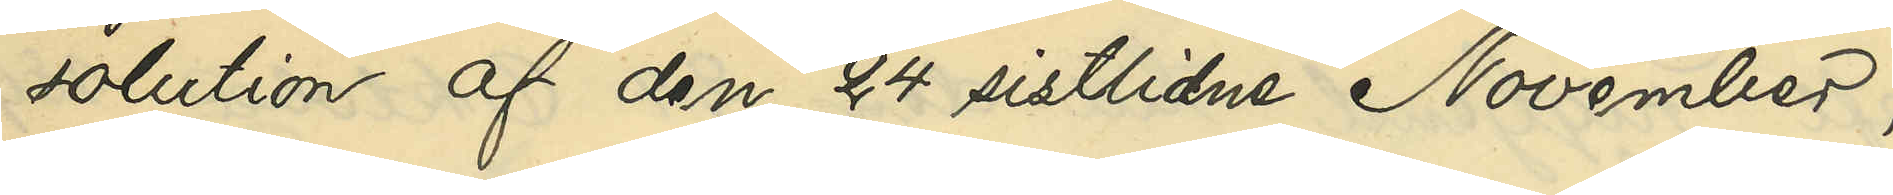solution af den 24 sistlidne November,
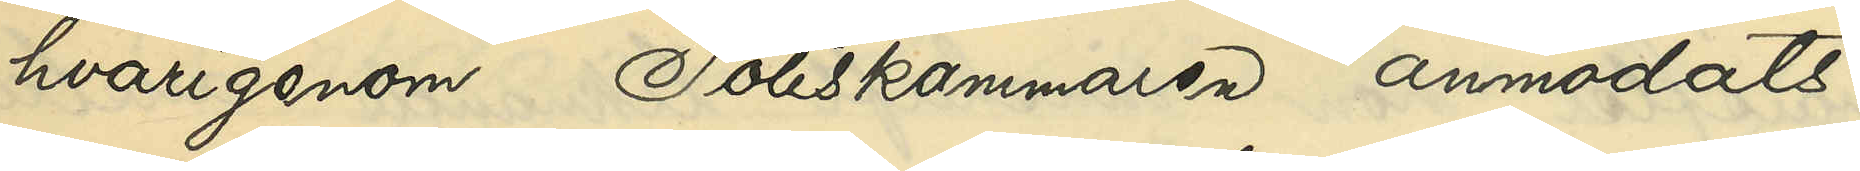hvarigenom Poliskammaren anmodats
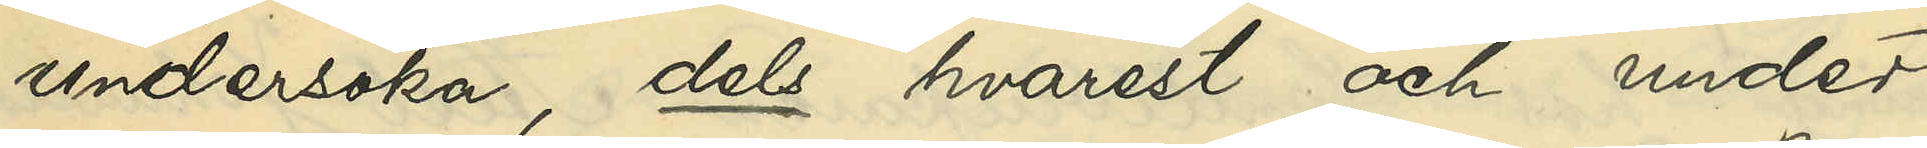undersöka, dels hvarest och under
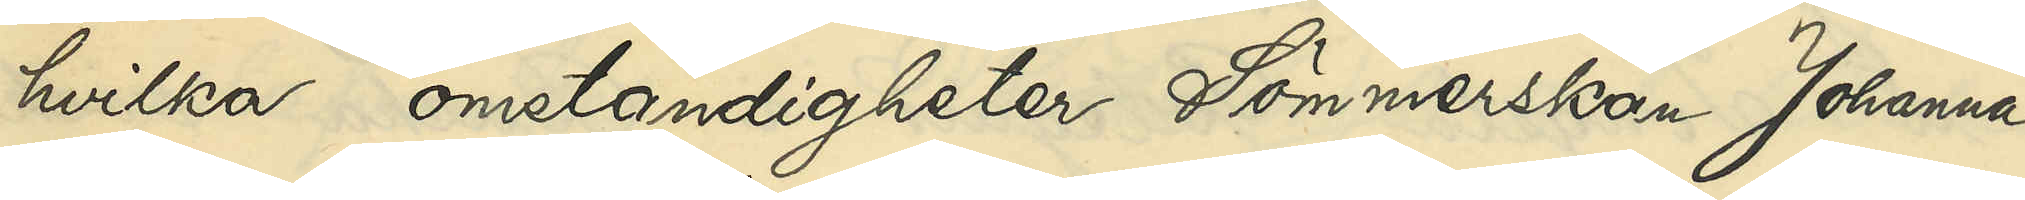hvilka omständigheter Sömmerskan Johanna
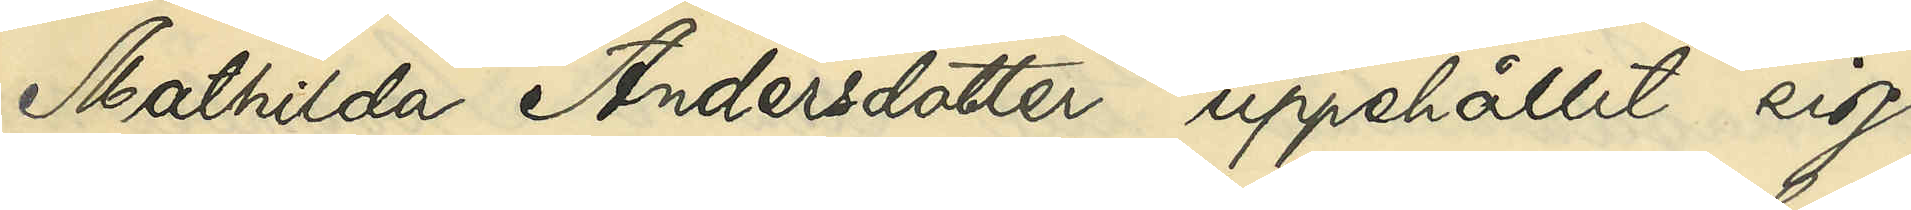Mathilda Andersdotter uppehållit sig
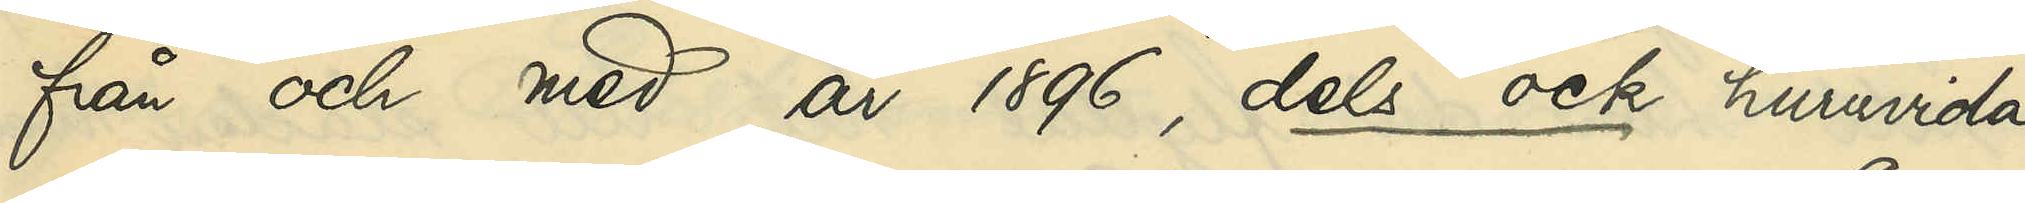från och med år 1896, dels ock huruvida
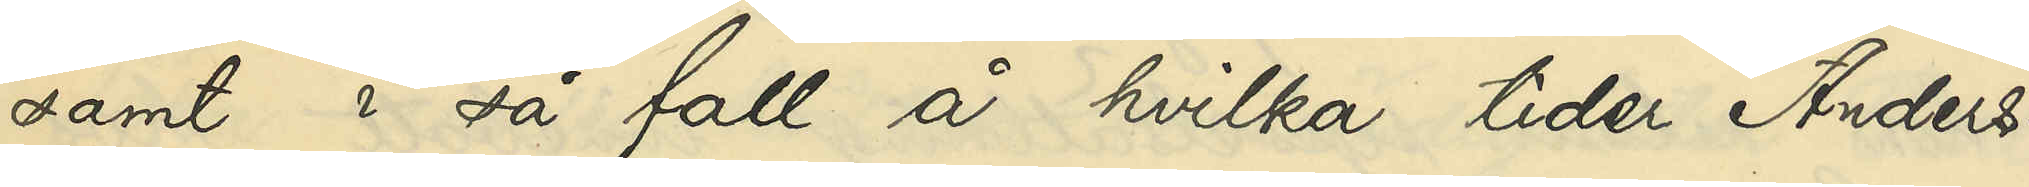samt i så fall å hvilka tider Anders¬
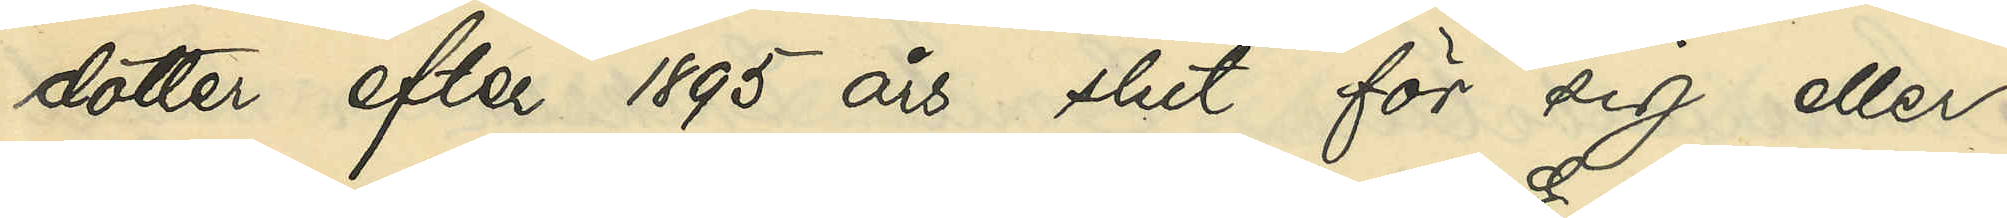dotter efter 1895 års slut för sig eller
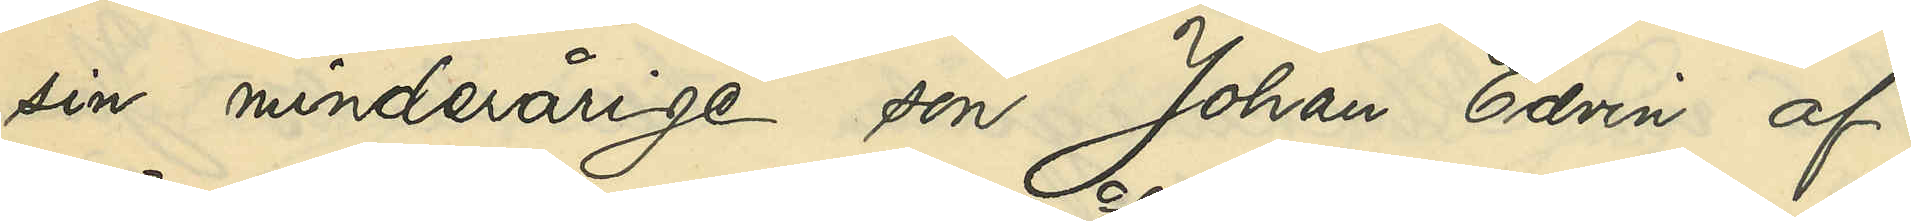sin minderårige son Johan Edvin af
